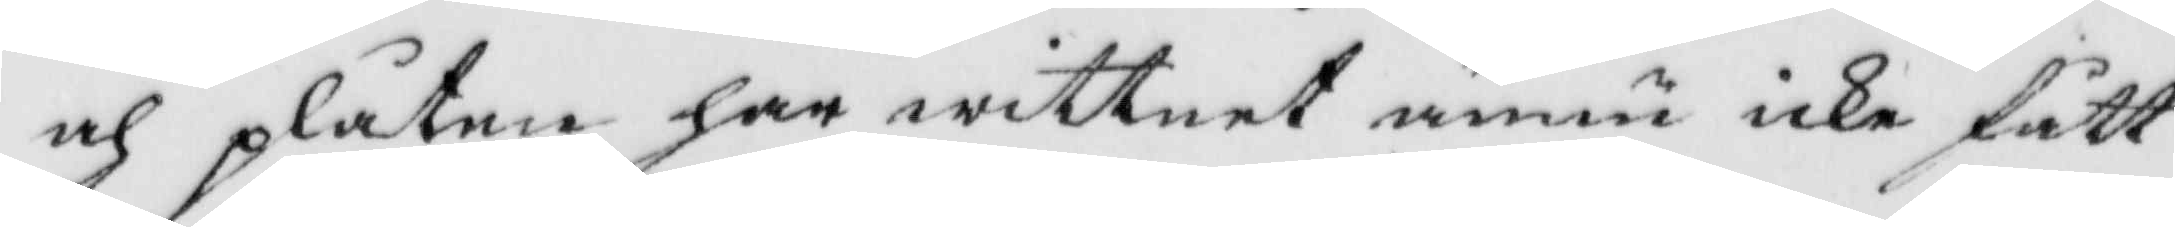och plååtar har wittnet ännu icke fått
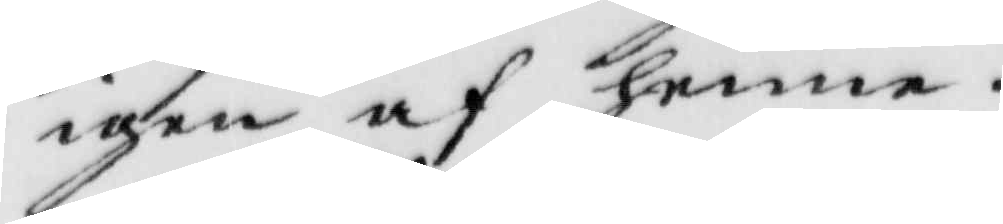igen af henne.
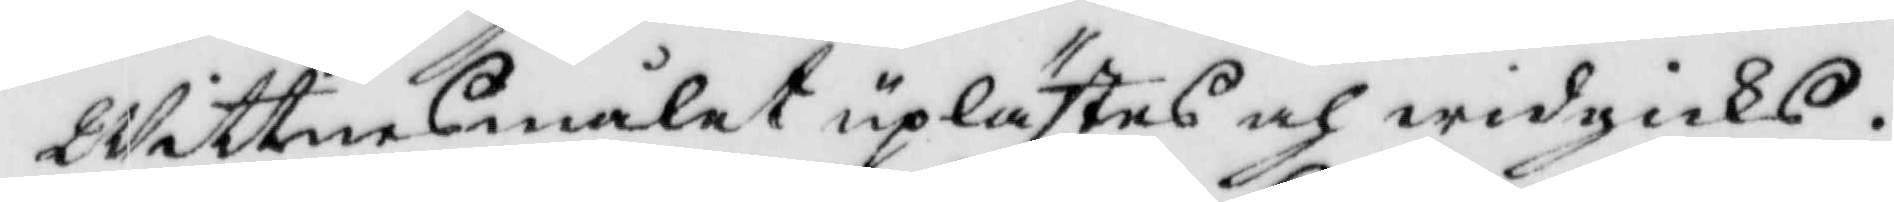Wittnesmålet uplästes och widgicks.
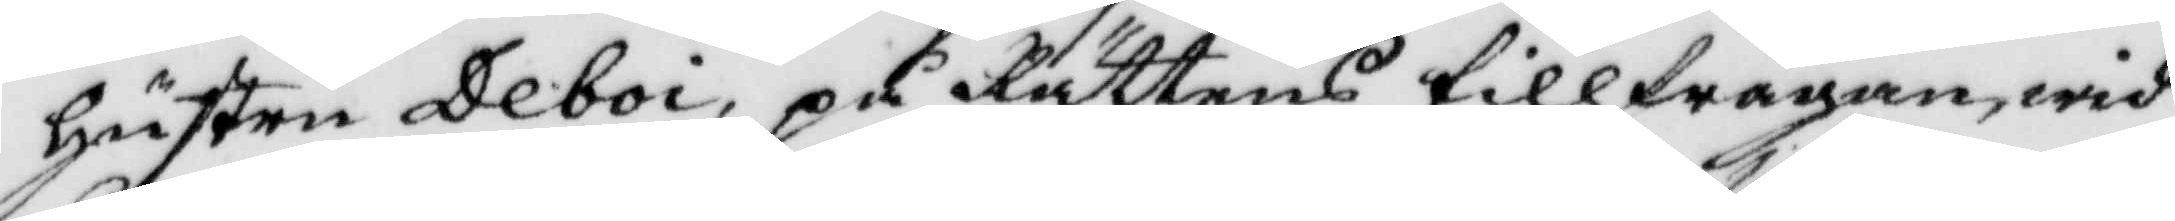hustru Deboi, på Rättens tillfrågan, wid¬
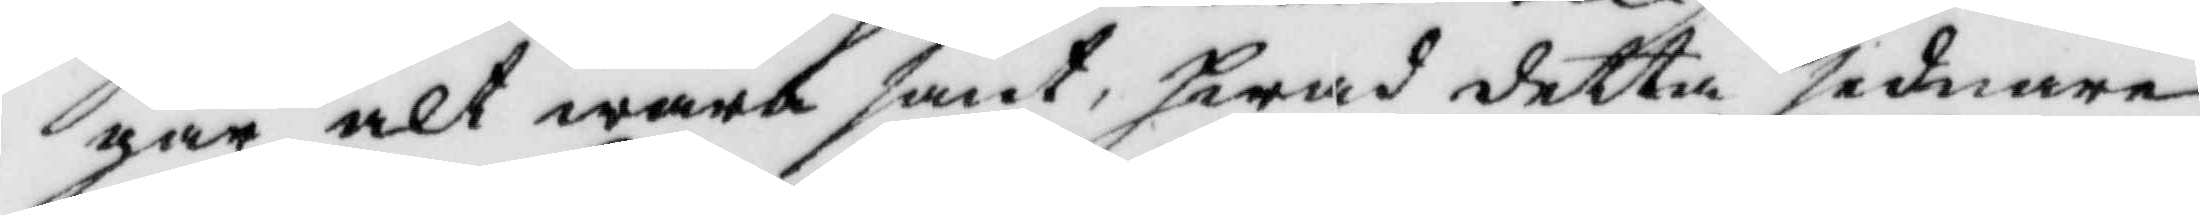går alt wara sant, hwad detta sednare
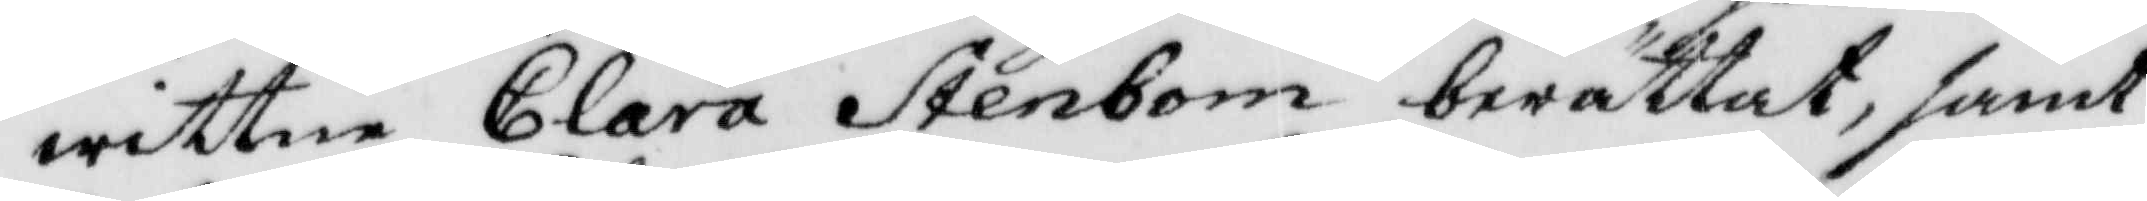wittne Clara Stenbom berättat, samt
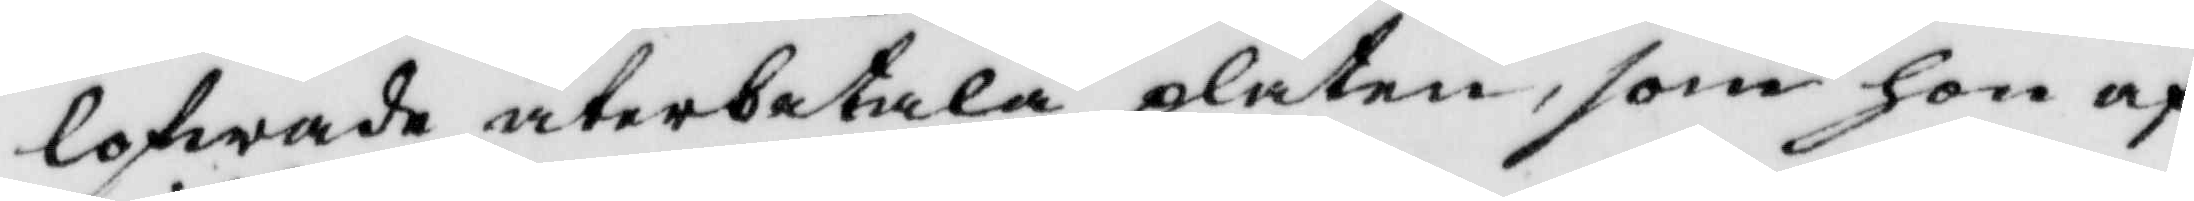lofwade återbetala plåten, som hon af
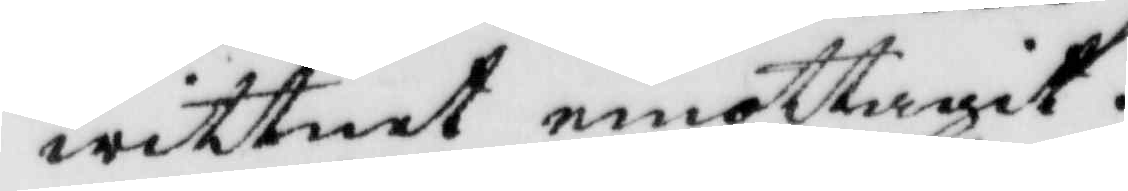wittnet emottagit.
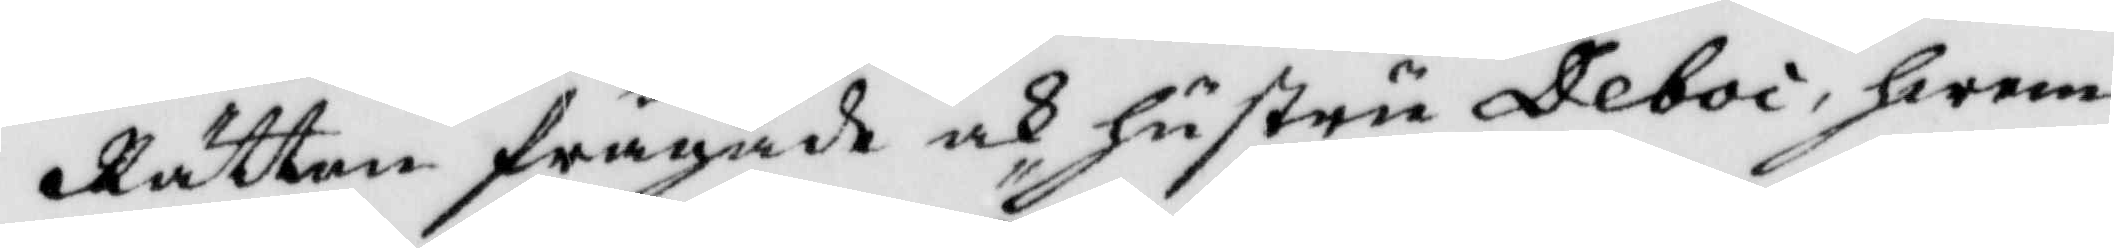Rätten frågade ock hustru Deboi, hwem
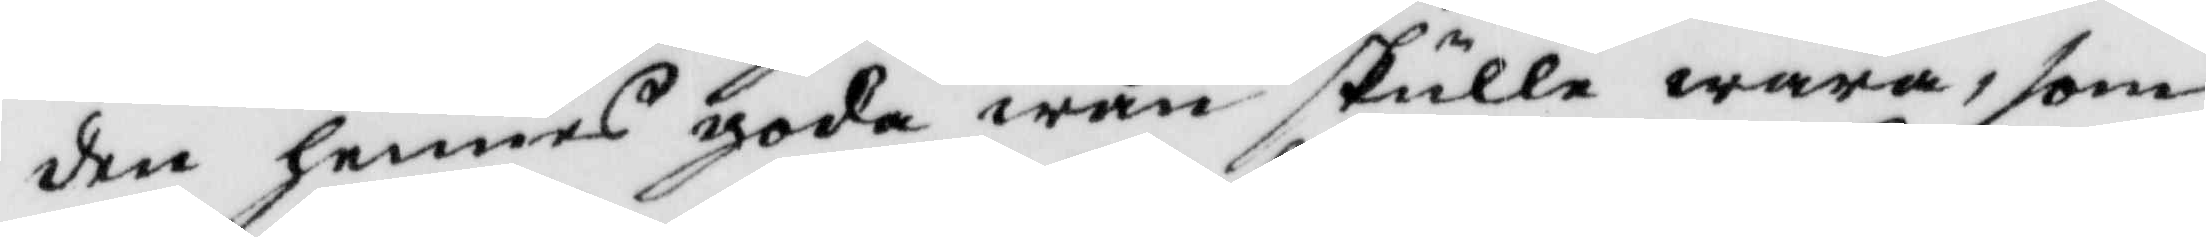den hennes goda wän skulle wara, som
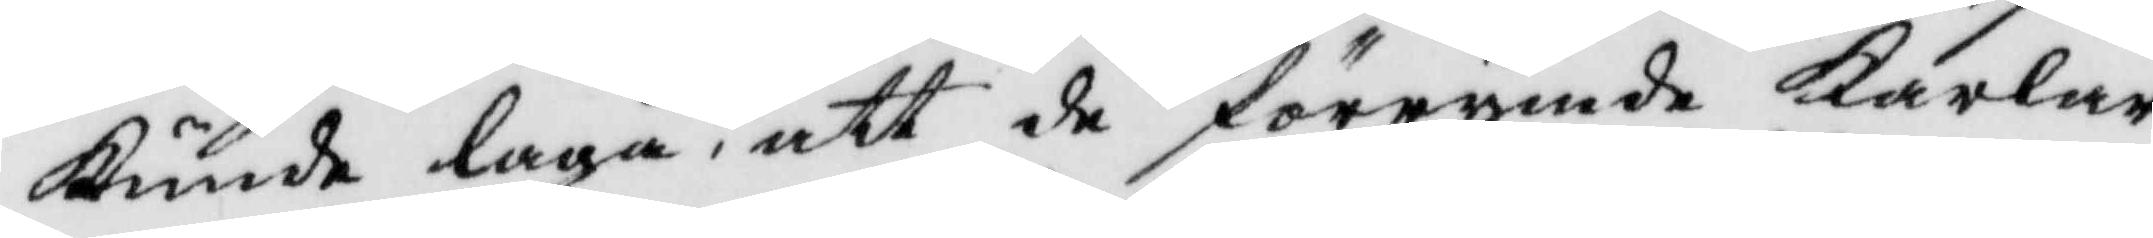Kunde laga, att de förrymde Karlar¬
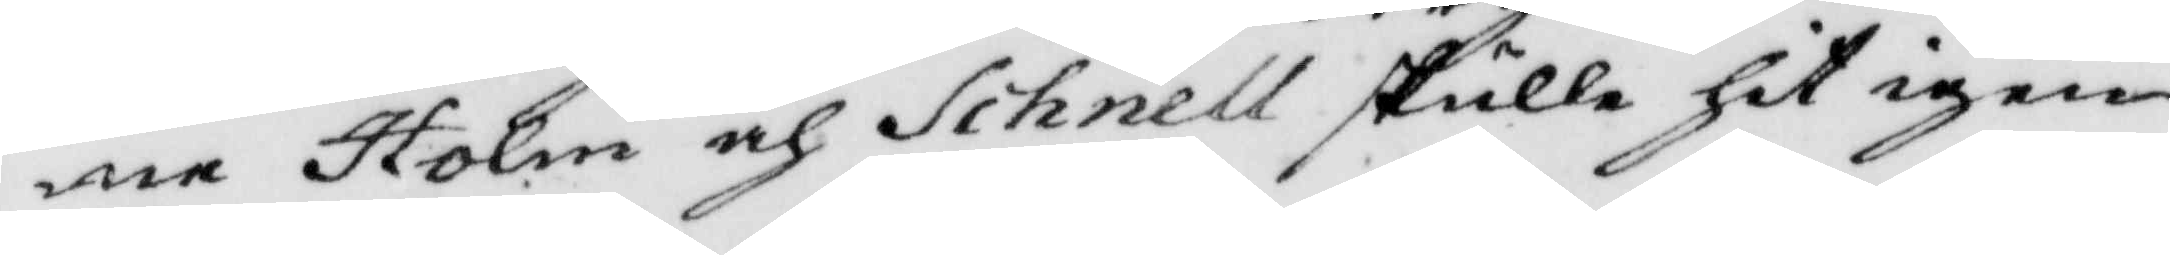ne Holm och Schnell skulle hit igen¬
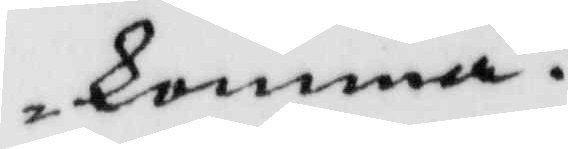komma?
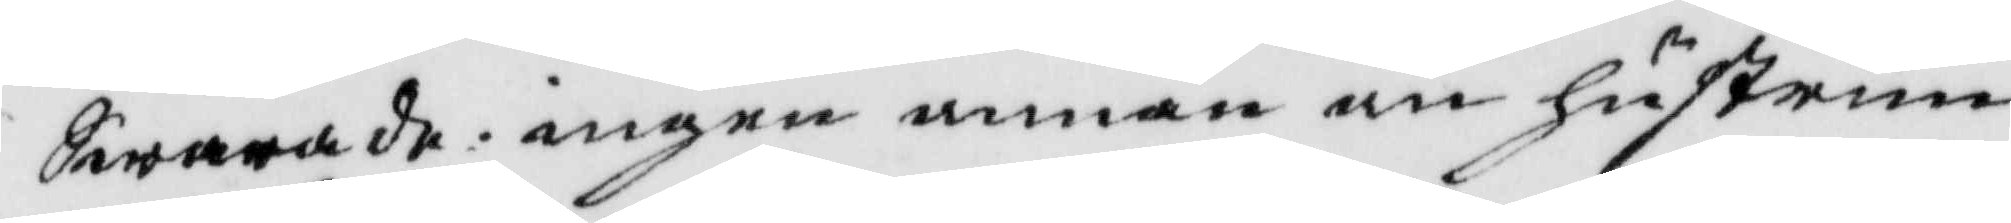Swarande: ingen annan än hsutrun
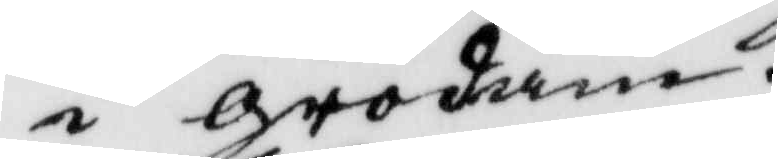i grodane.
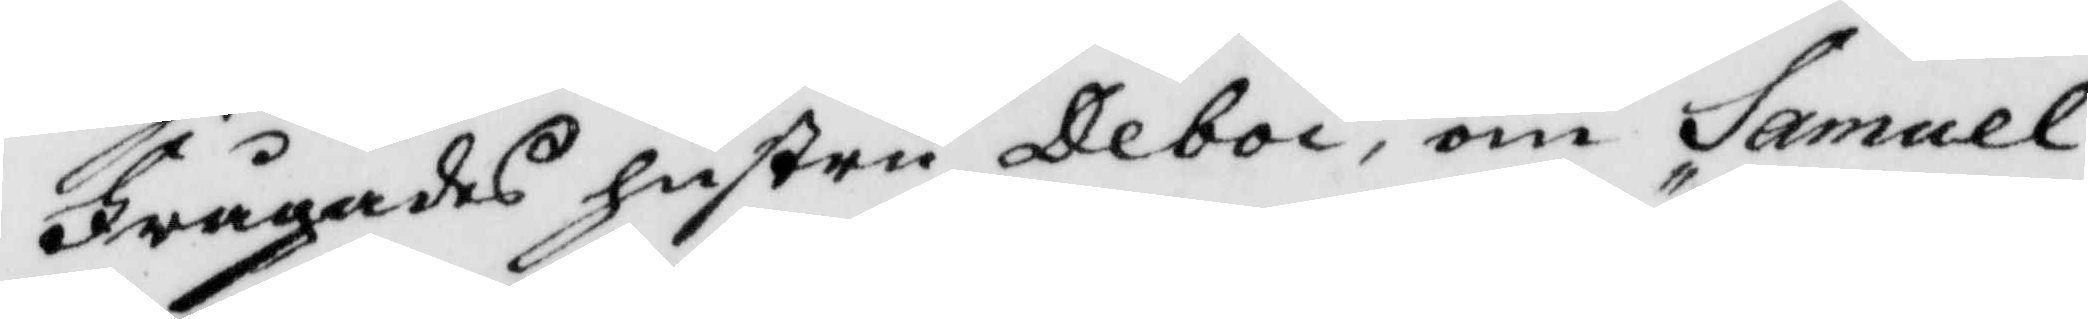Frågades hustru Deboi, om Samuel
